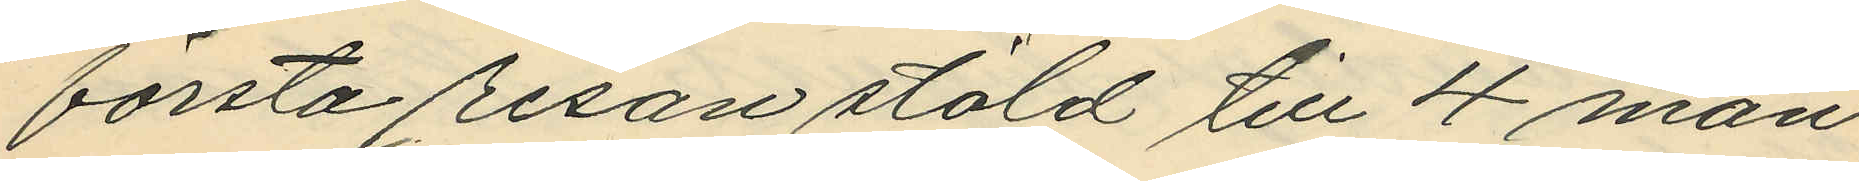första resan stöld till 4 mån.
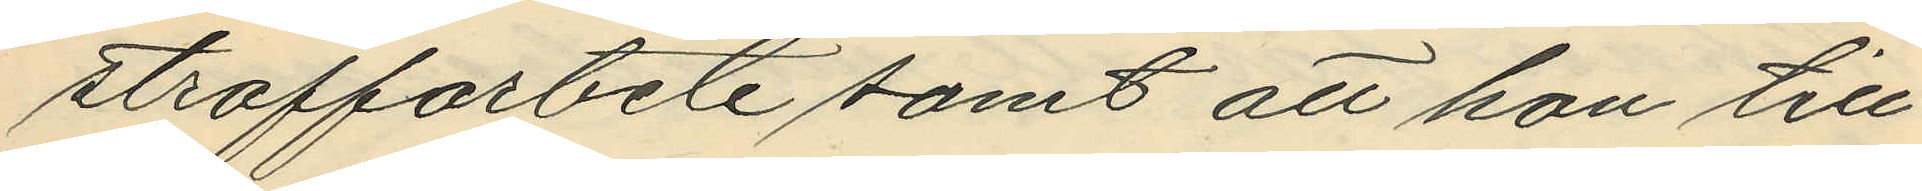straffarbete samt att hon till¬
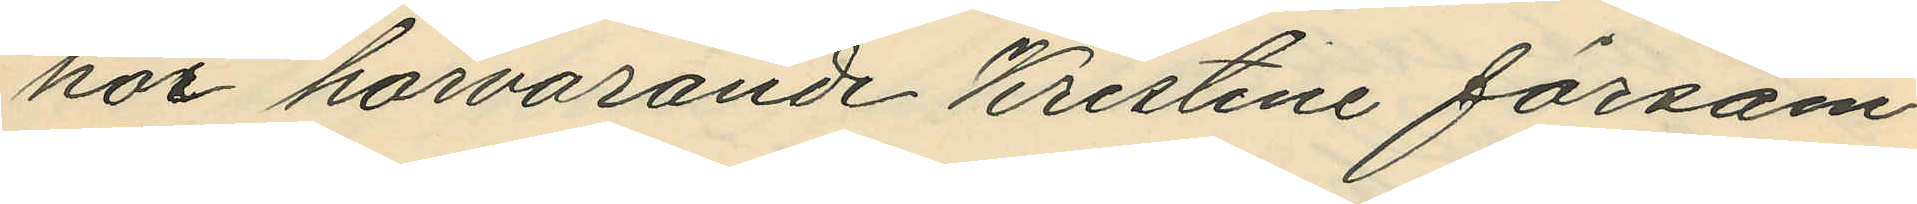hör härvarande Kristine försam¬
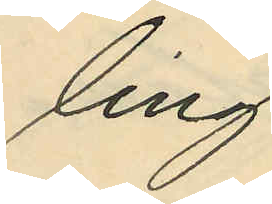ling
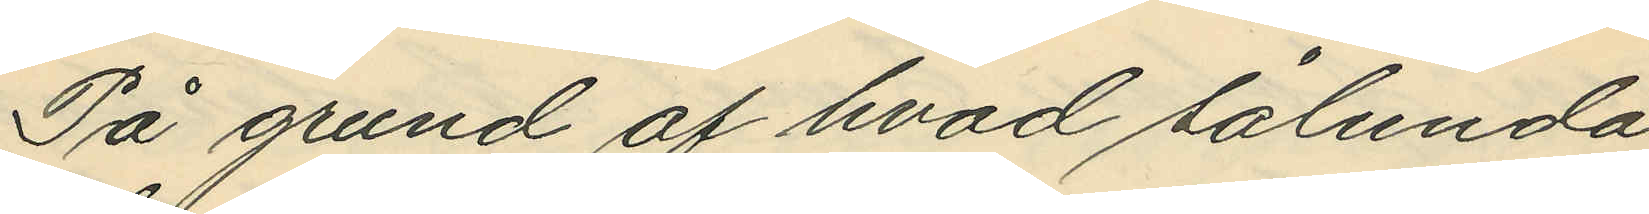På grund af hvad sålunda
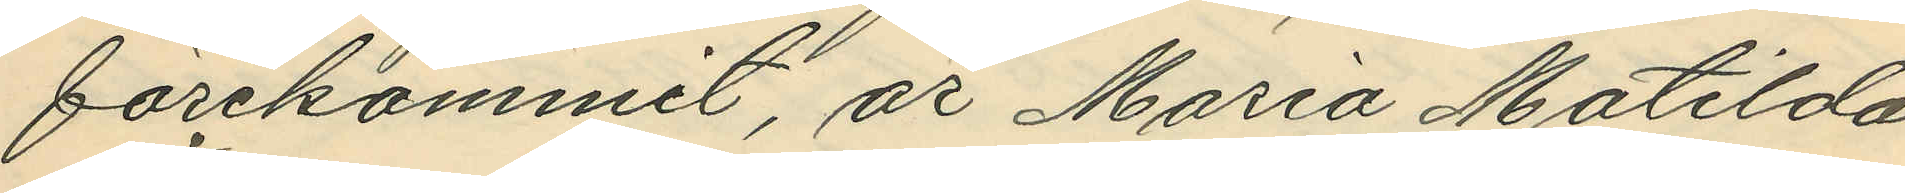förekommit, är Maria Matilda
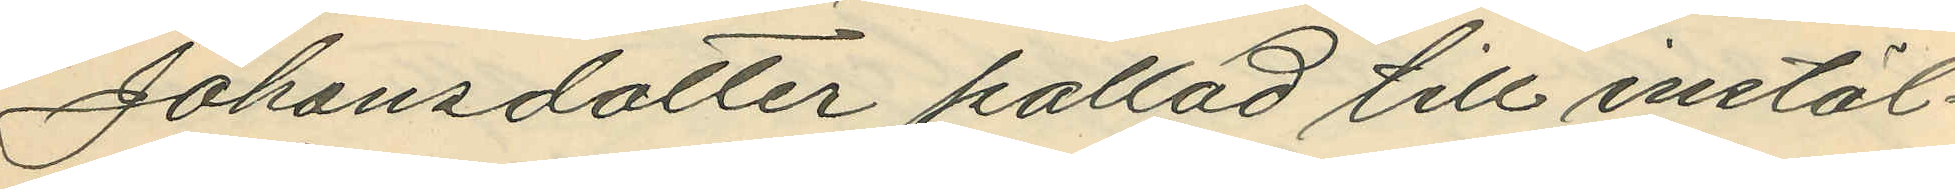Johansdotter kallad till instäl¬
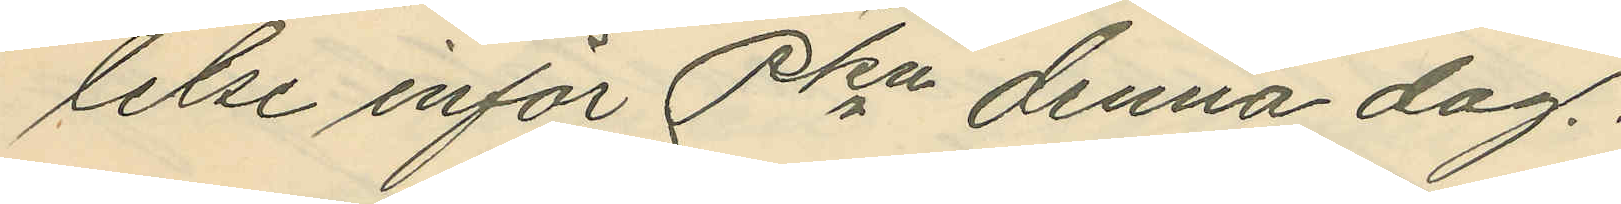lelse inför Pkn denna dag.
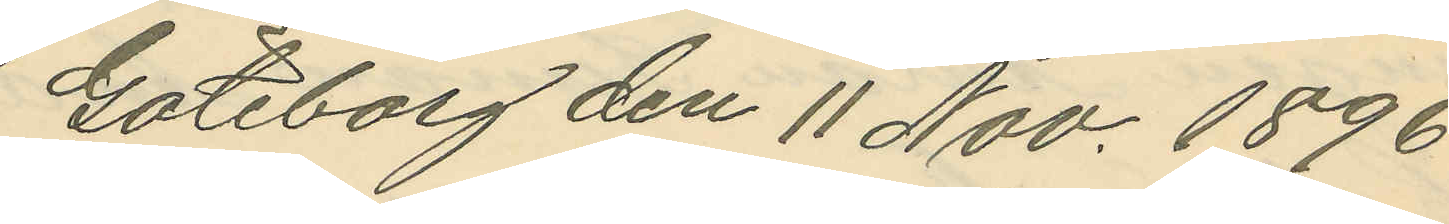Göteborg den 11 Nov. 1896
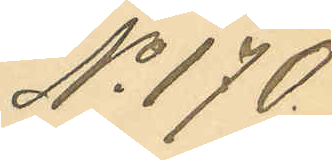No 170.
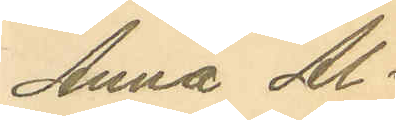Anna Al¬
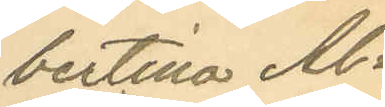bertina Al¬
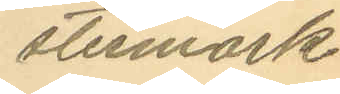stermark.
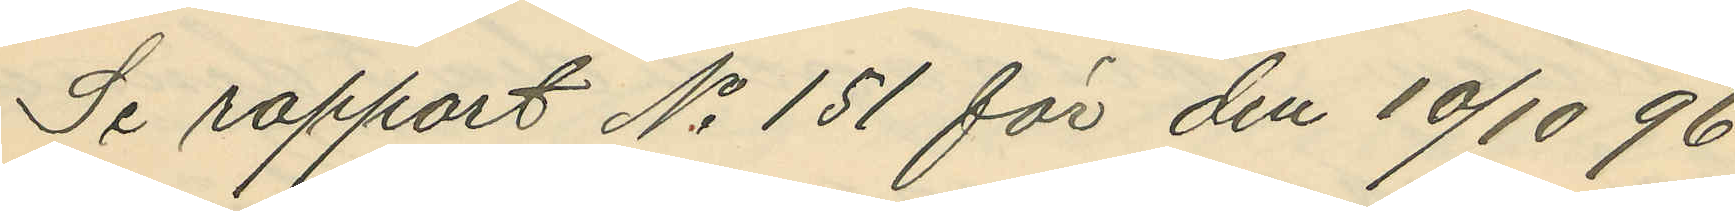Se rapport No 151 för den 10/10 96,
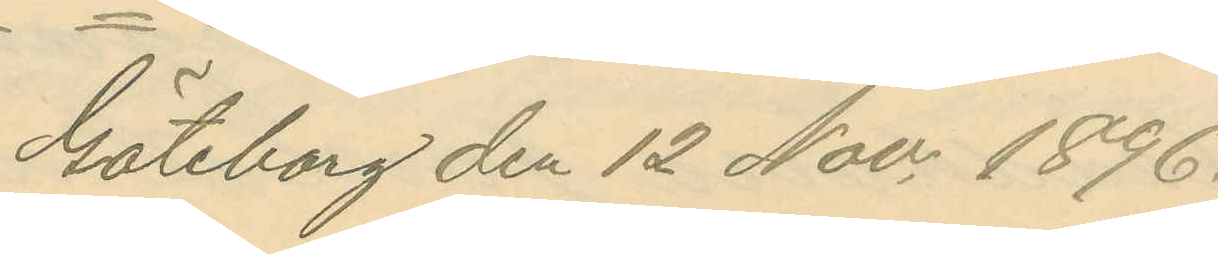Göteborg den 12 Nov, 1896.
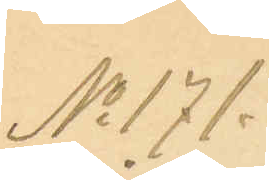No 171.
